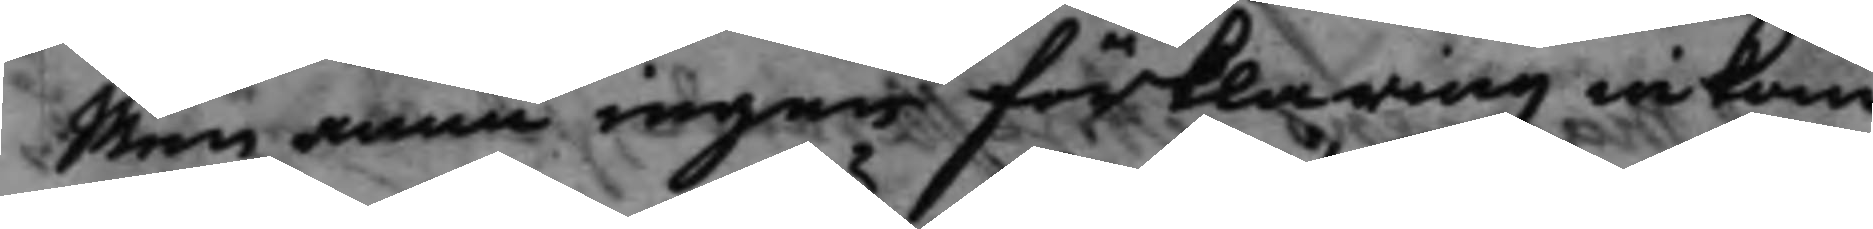Men ännu ingen förklaring inkom¬
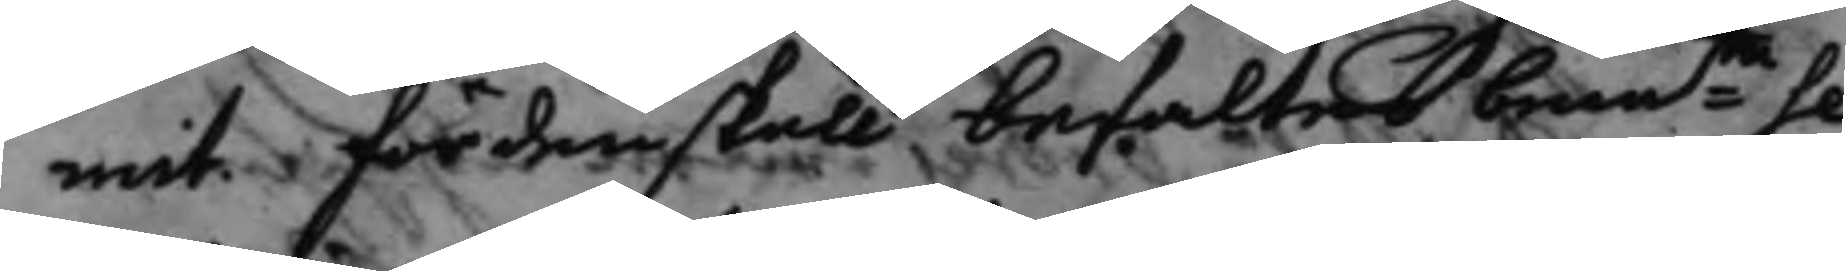mit. fördenskull befaltes bemte Se¬
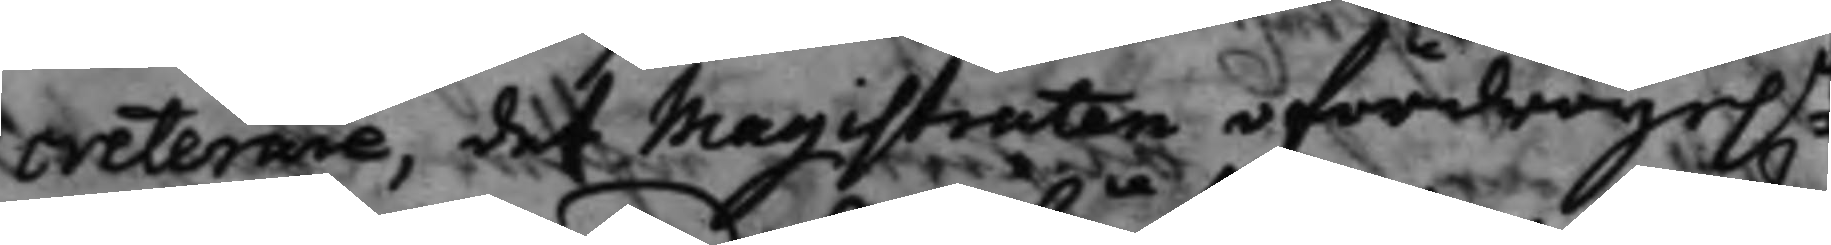creterare, det Magistraten ofördröije.n
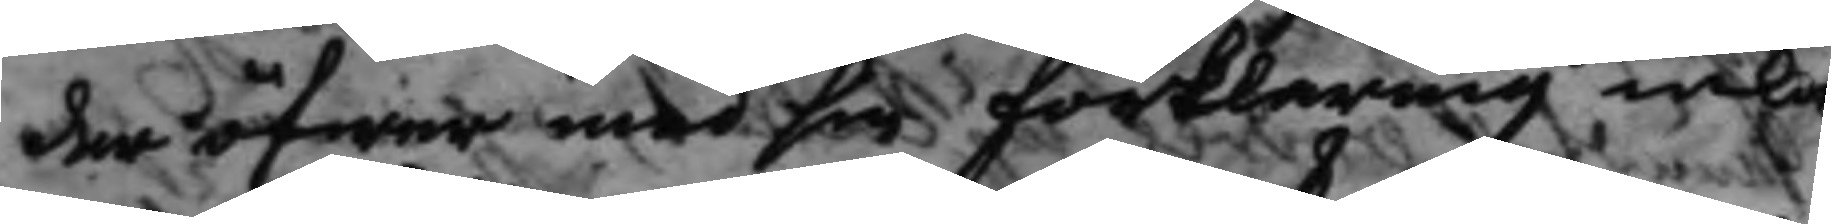der öfwer med sin förklaring inkom¬
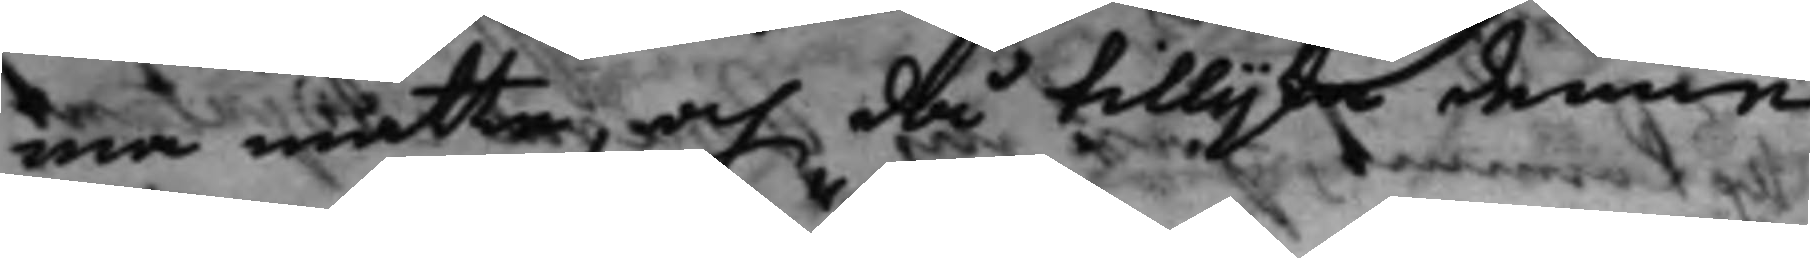ma måtte, och då tillijka denne
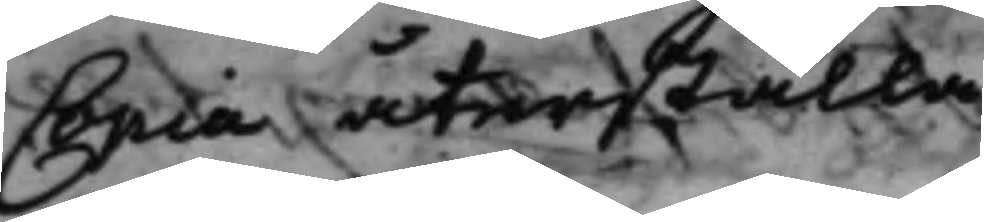Copia återställa
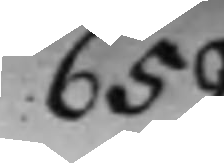659.
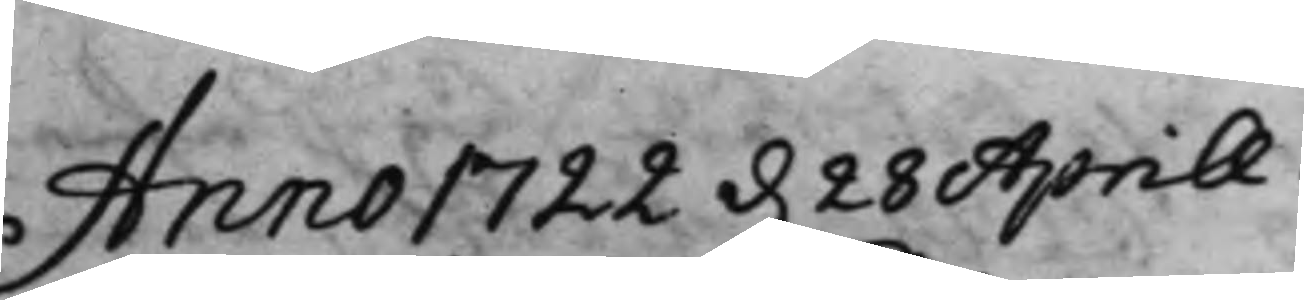Anno 1722 d. 28 Aprill.
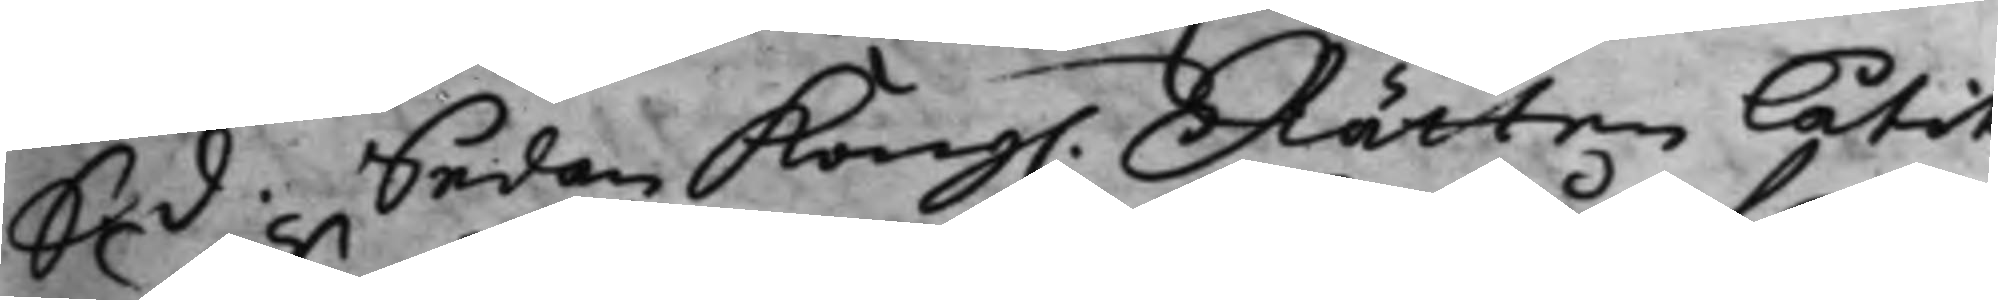S. d. Sedan Kong. Rätten låtit
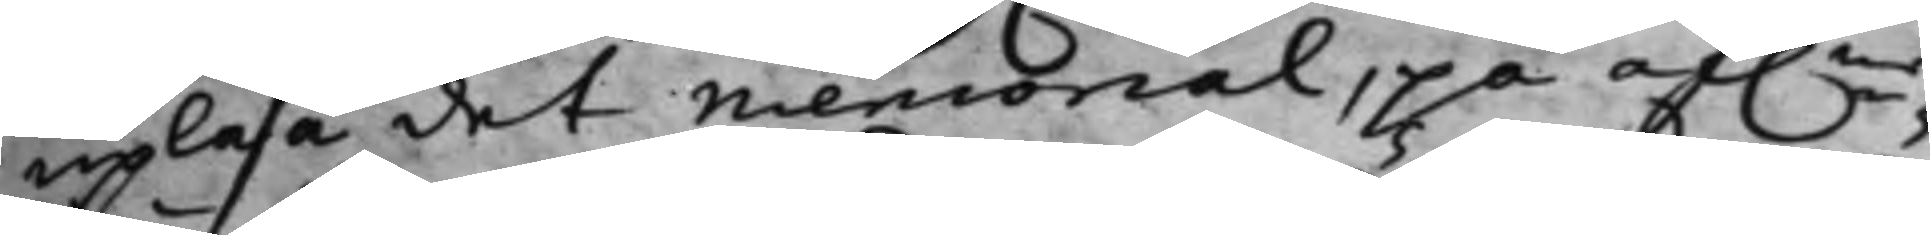upläsa det memorial, på af.ne
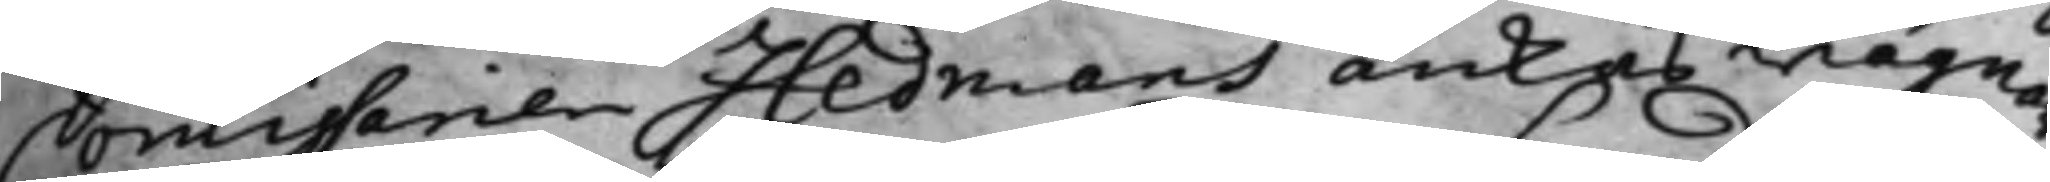Comissarien Hedmans änkas wägnar
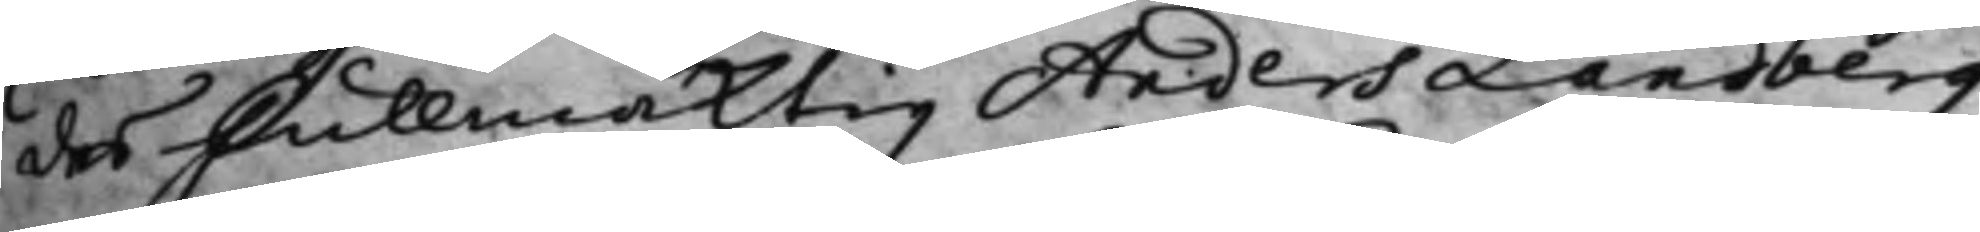des Fullmäktig Anders Landberg
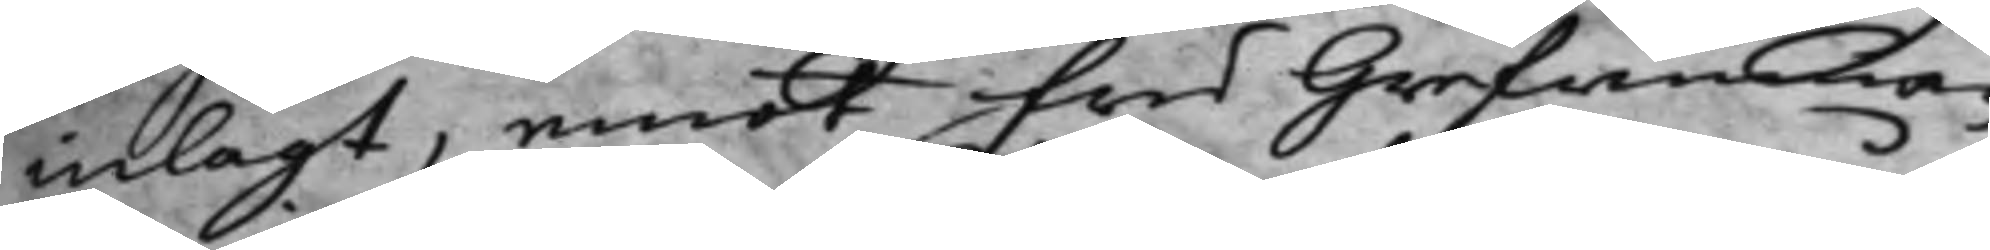inlagt, emot Fru Grefwinnan
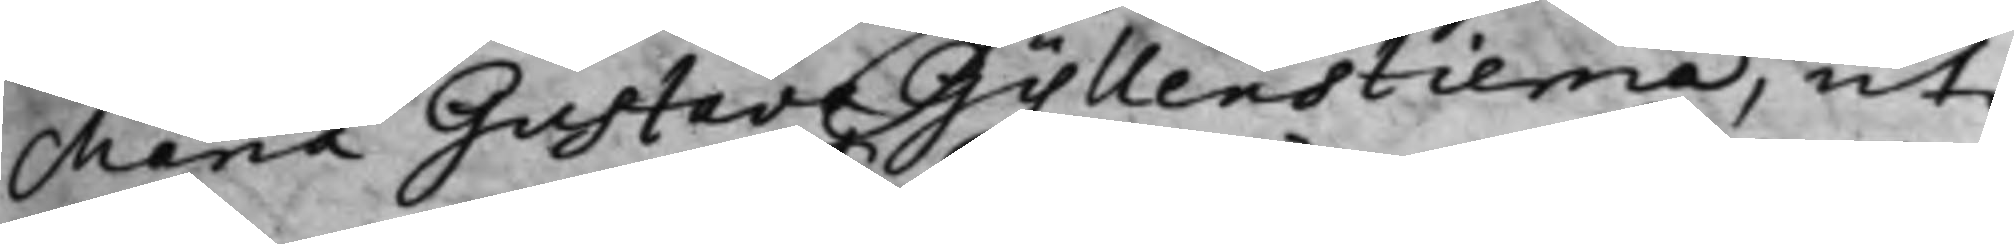Maria Gustava Gyllenstierna, uti
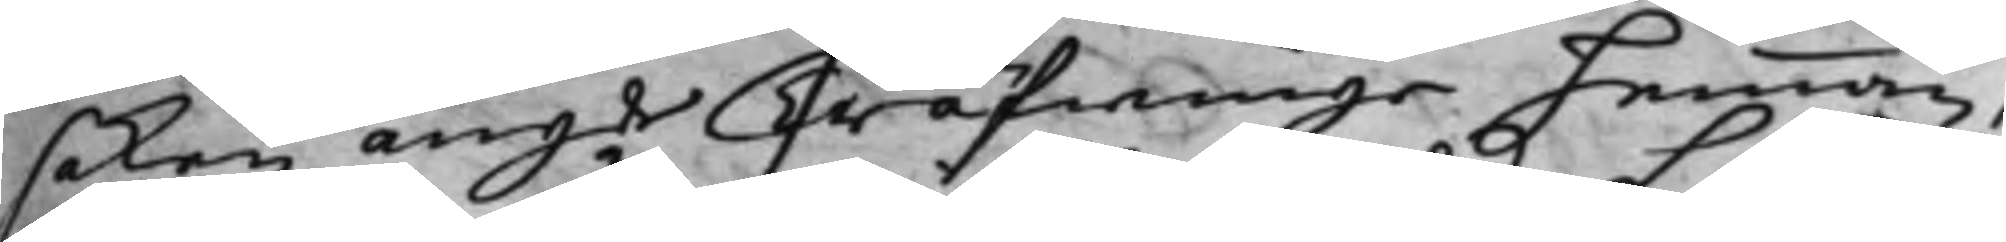saken angde Träfwinge hemman,
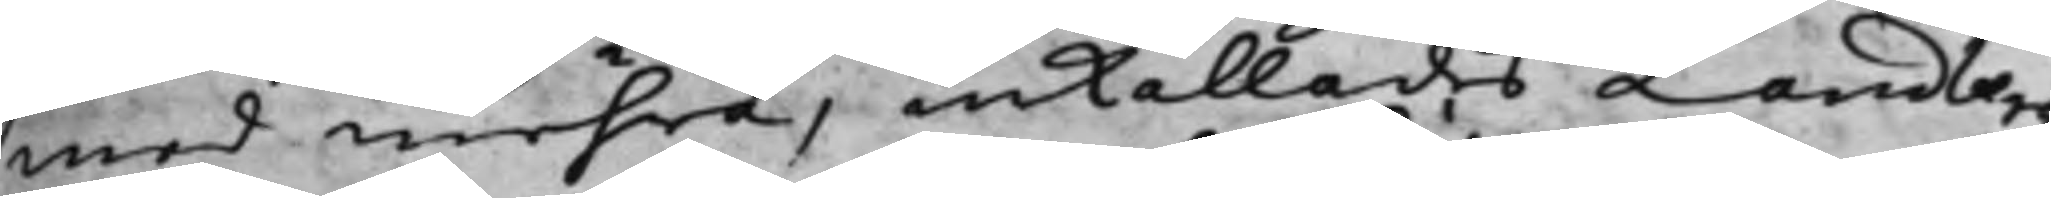med mehra, inkallades Landberg
